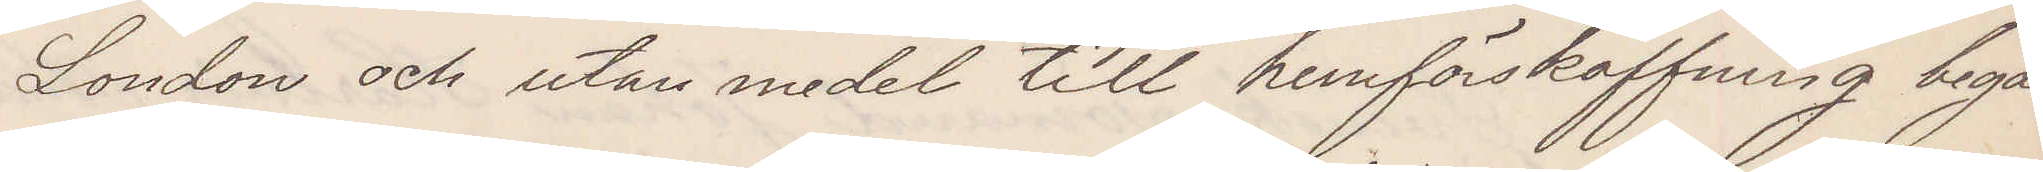London och utan medel till hemförskaffning begär
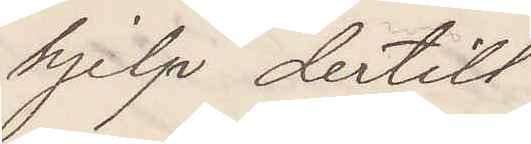hjelp dertill.
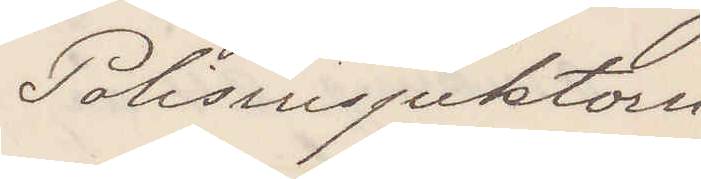Polisinspektorn
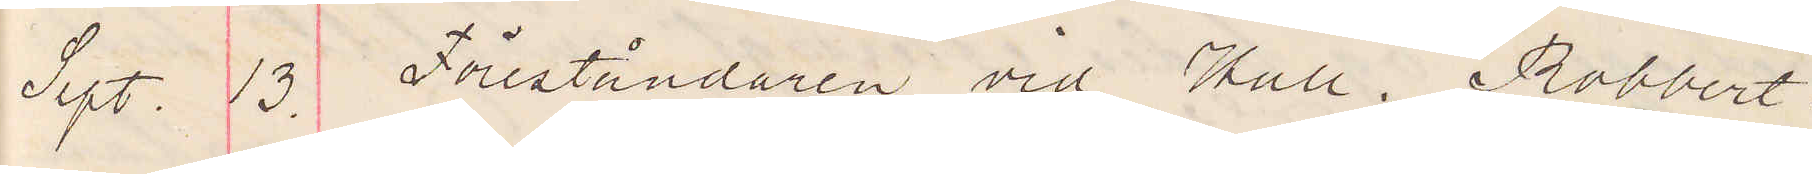Sept. 13. Föreståndaren vid Hall. Robbert.
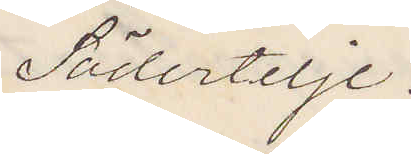Södertelje.
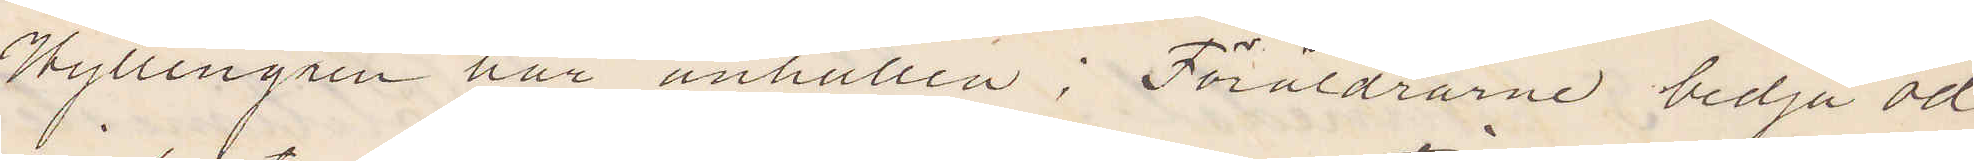Hyllengren här anhållen; Föräldrarne bedja öd¬
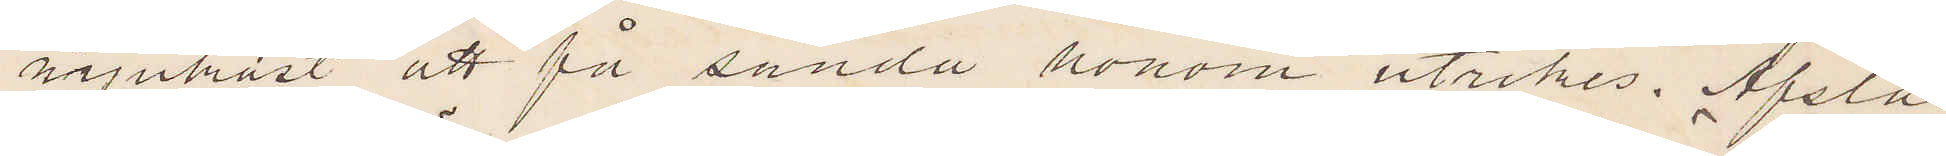mjukast att få sända honom utrikes. Afslås.
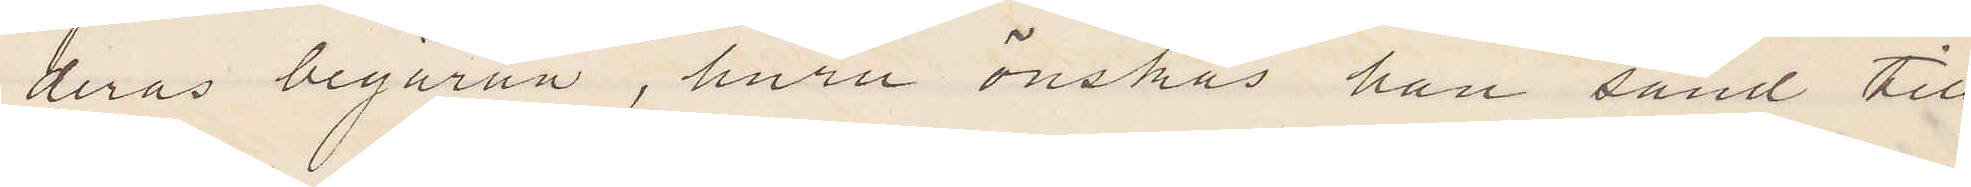deras begäran, huru önskas han sänd till
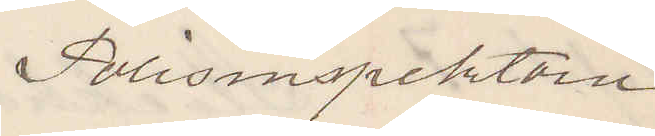Polisinspektorn.
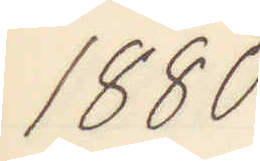1880
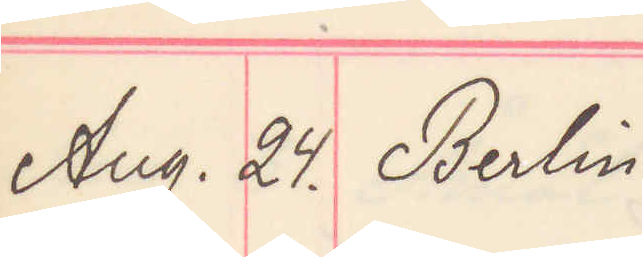Aug. 24. Berlin
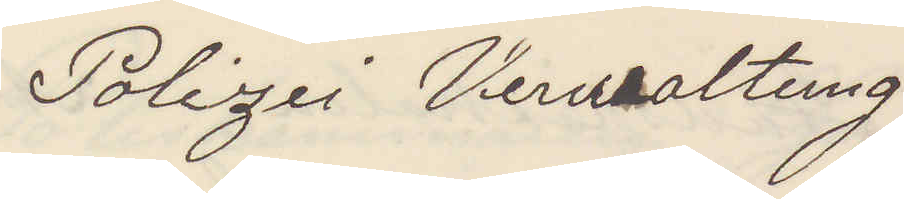Polizei Verwaltung 
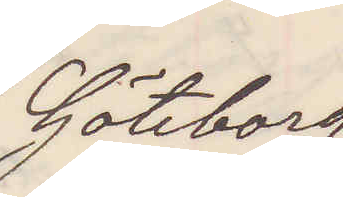Göteborg
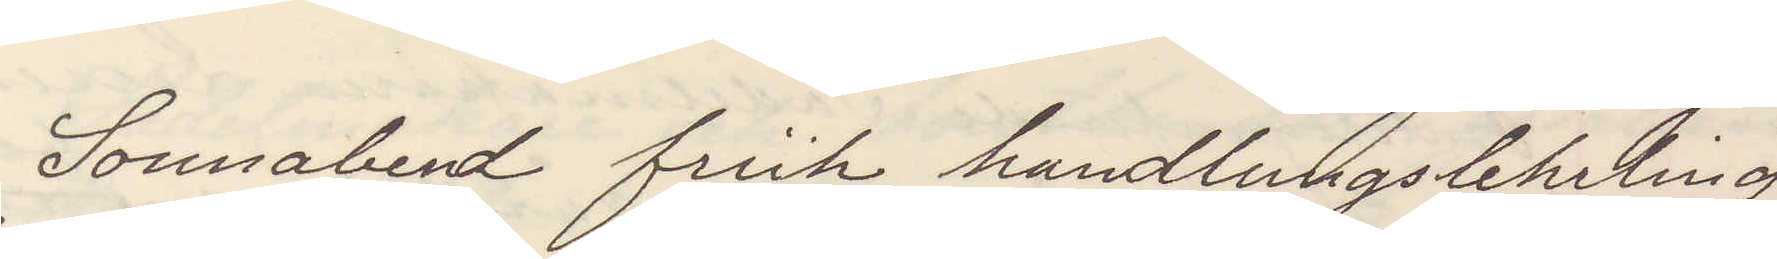Sonnabend früh handlungslehrling
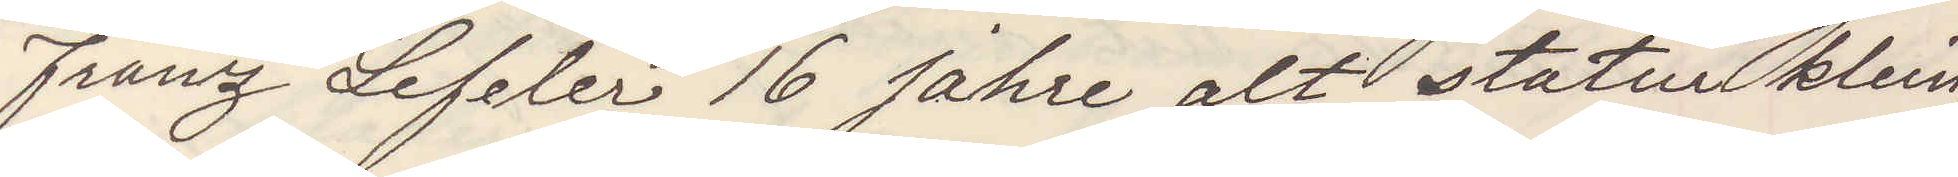Franz Lefeler 16 Jahre alt statur klein,
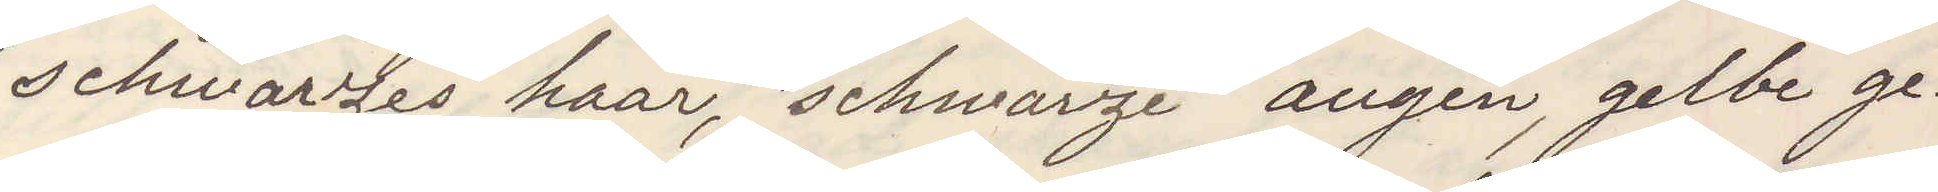schwarzes haar, schwarze augen, gelbe ge¬
